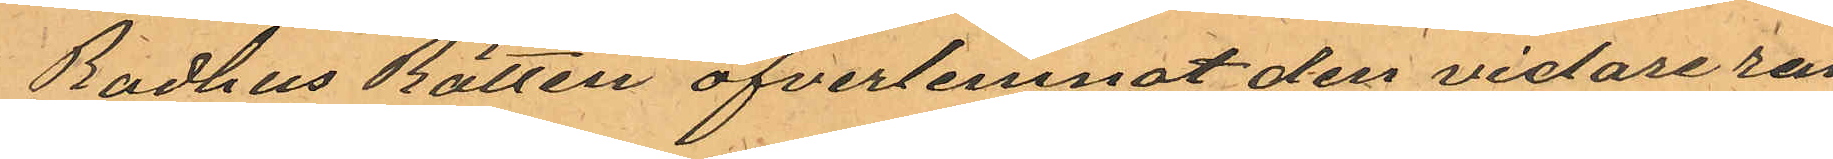Rådhus Rätten öfverlemnat den vidare ran¬
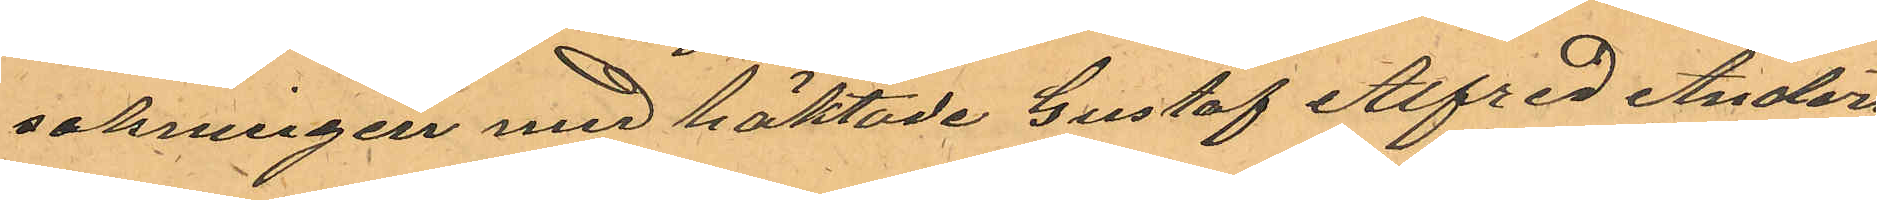sakningen med häktade Gustaf Alfred Anders¬
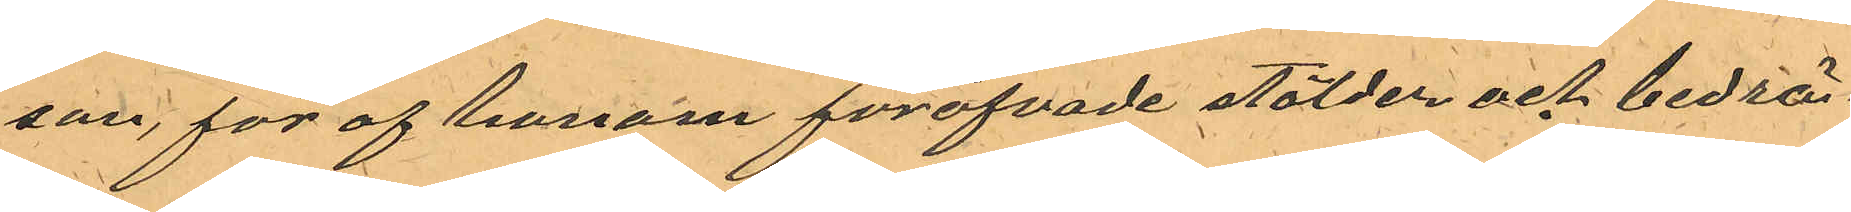son, för af honom föröfvade stölder och bedräg¬
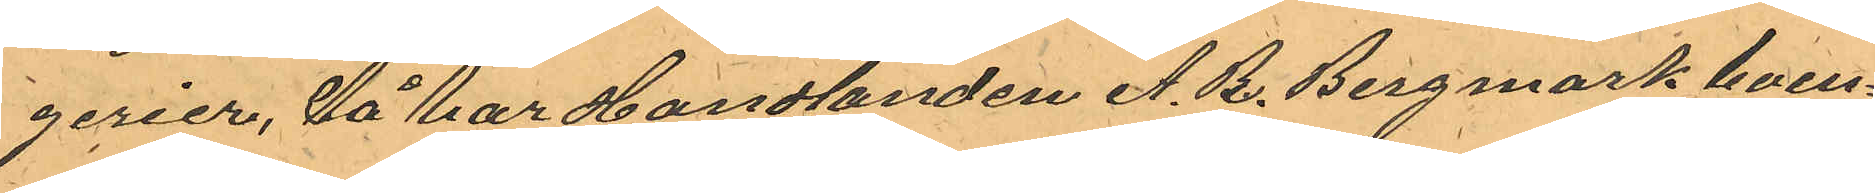erier, så har Handlanden A. B. Bergmark boen¬ 
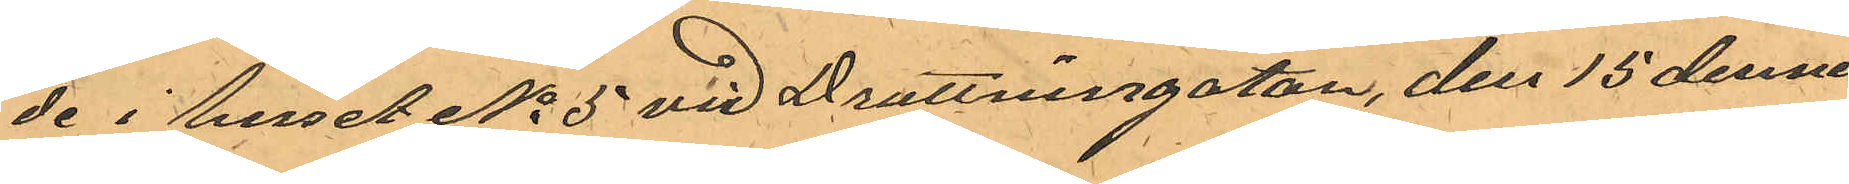de i huset No 5 vid Drottninggatan, den 15 dennes 
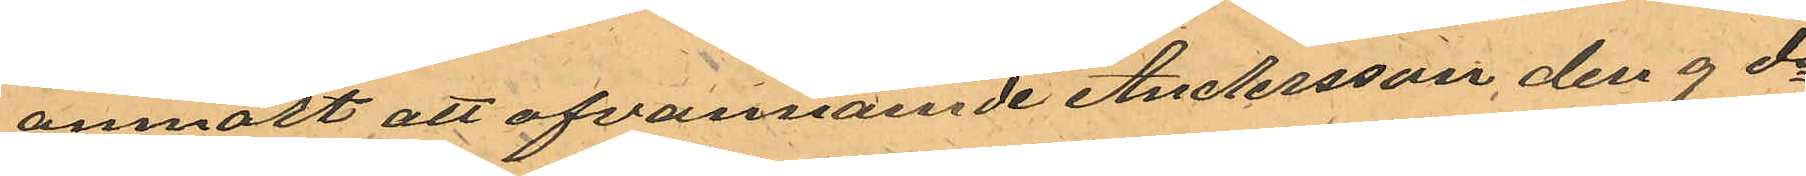anmält att ofvannämde Andersson den 9 ds
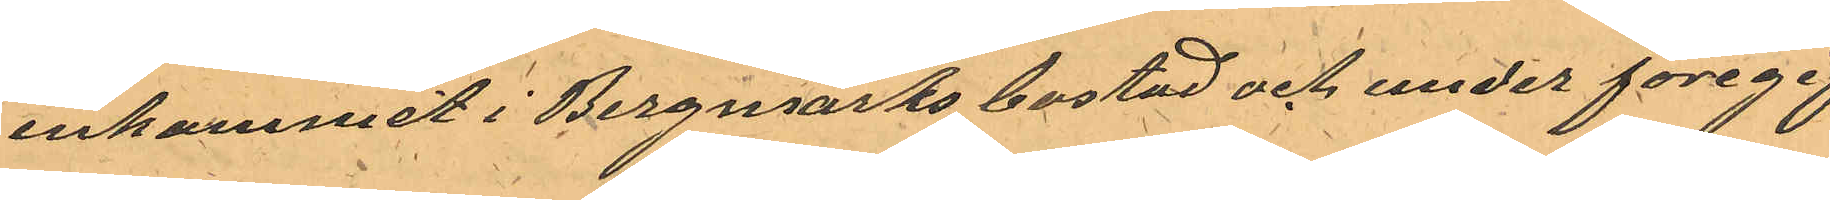inkommit i Bergmarks bostad och under föregif¬
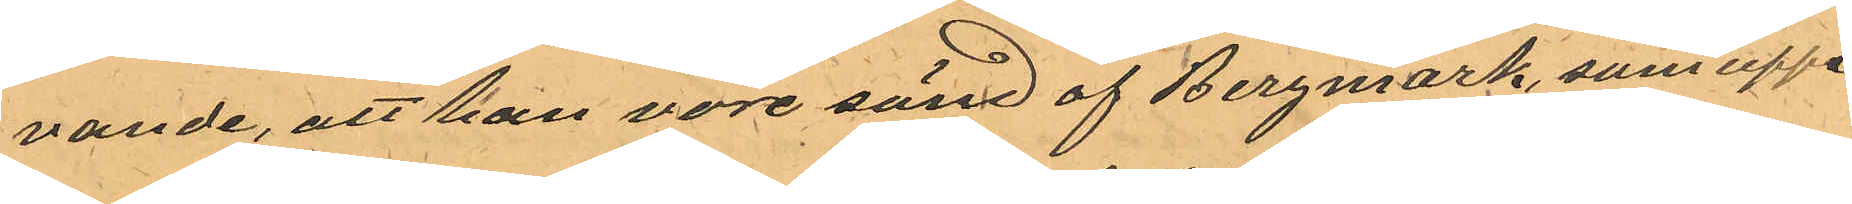vande, att han vore sänd af Bergmark, som uppe¬
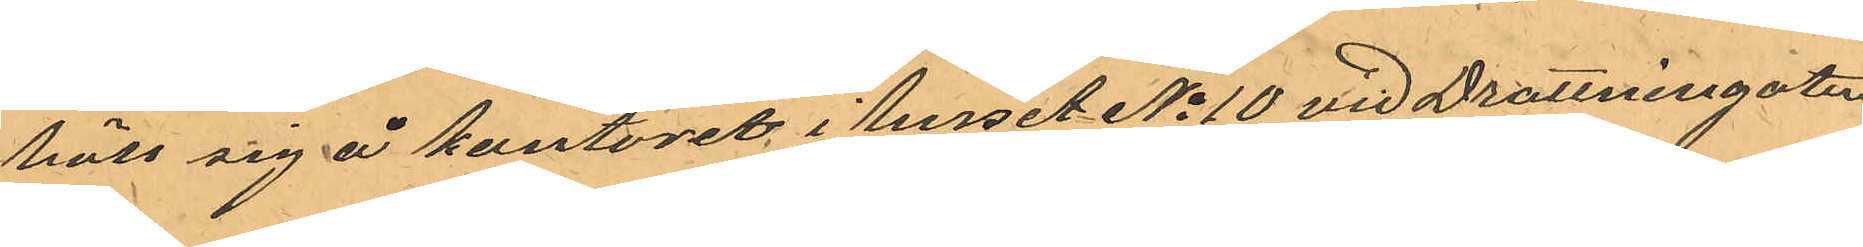höll sig på kontoret i huset No 10 vid Drottninggatan
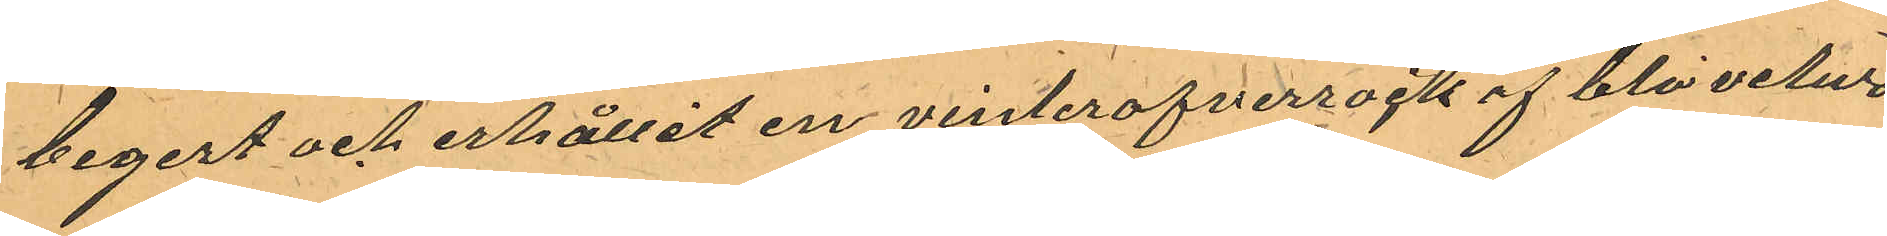begert och erhållit en vinteröfverrock af blå velur
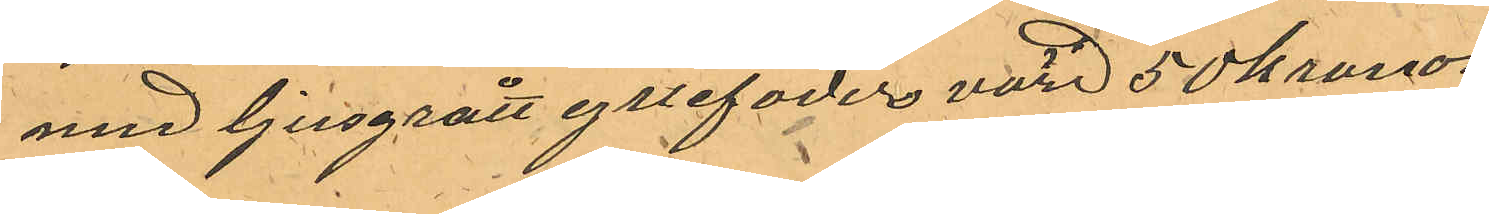med ljusgrått yllefoder värd 50 kronor.
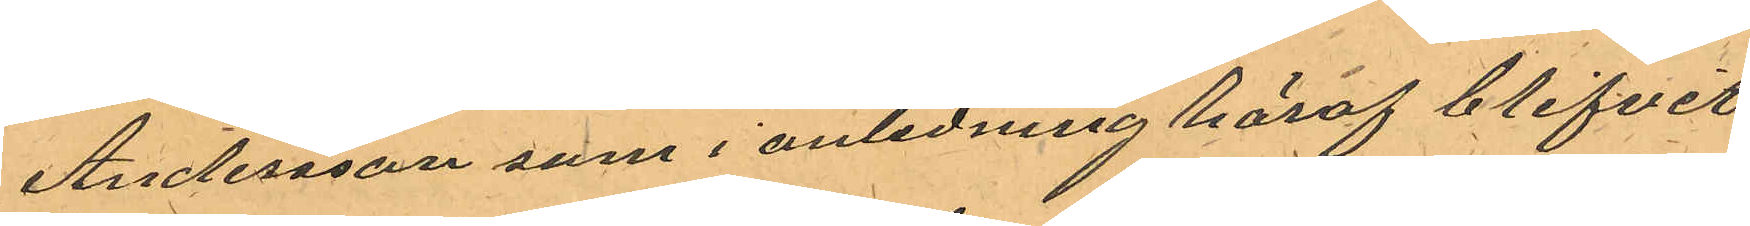Andersson som i anledning häraf blifvit
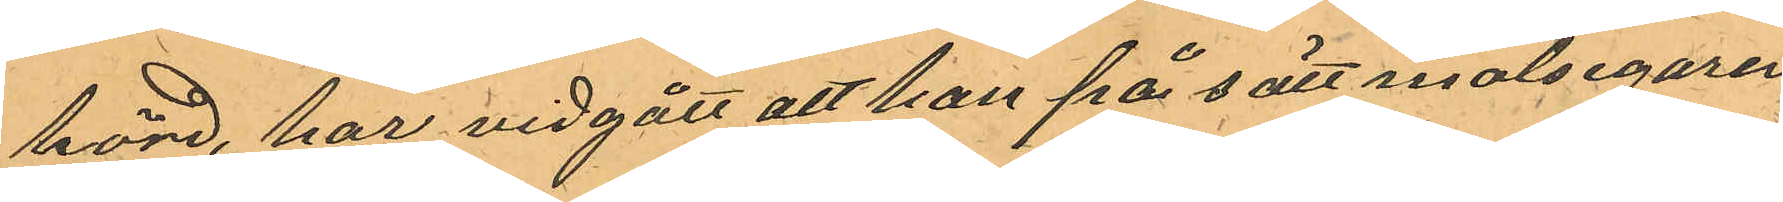hörd, har vidgått att han på sätt målsegaren
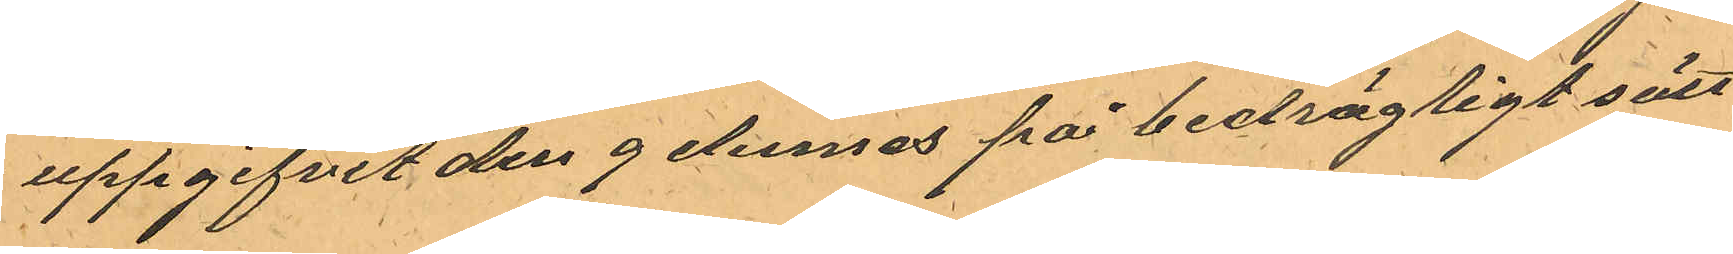uppgifvit den 9 dennes på bedrägligt sätt
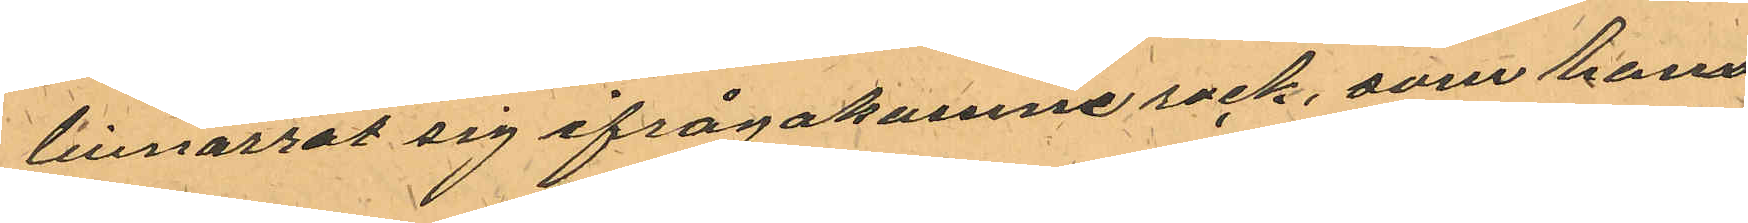tillnarrat sig ifrågakomne rock, som han
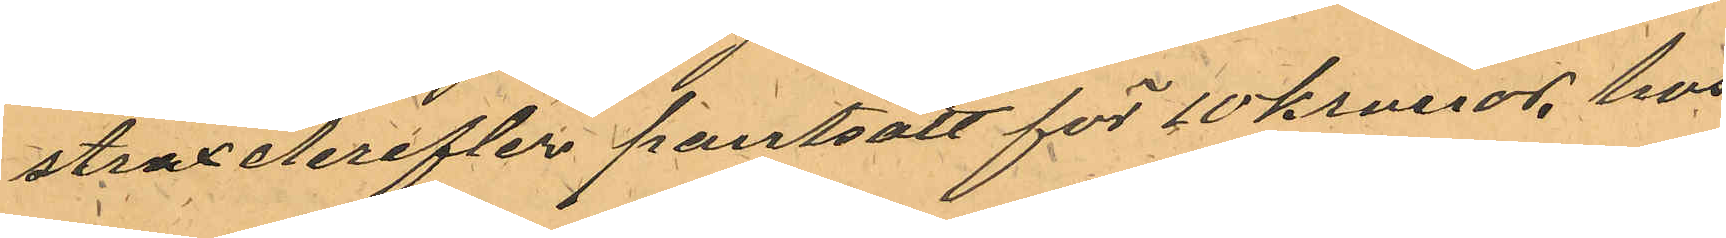strax derefter pantsatt för 10 kronor, hos
